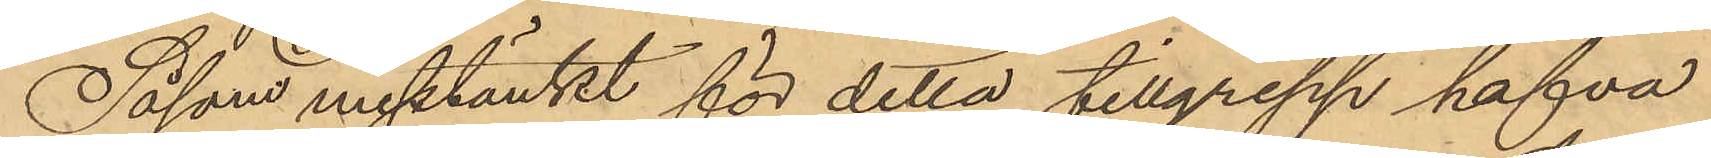Såsom misstänkt för detta tillgrepp hafva
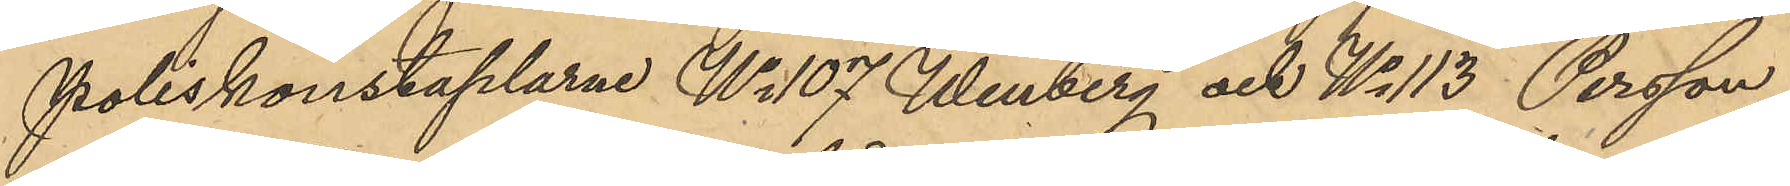Poliskonstaplarne No 107 Winberg och No 113 Persson
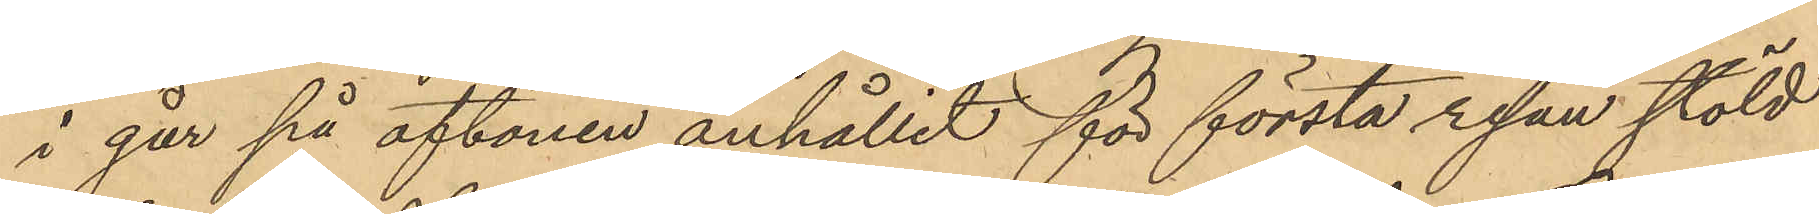i går på aftonen anhållit för första resan stöld
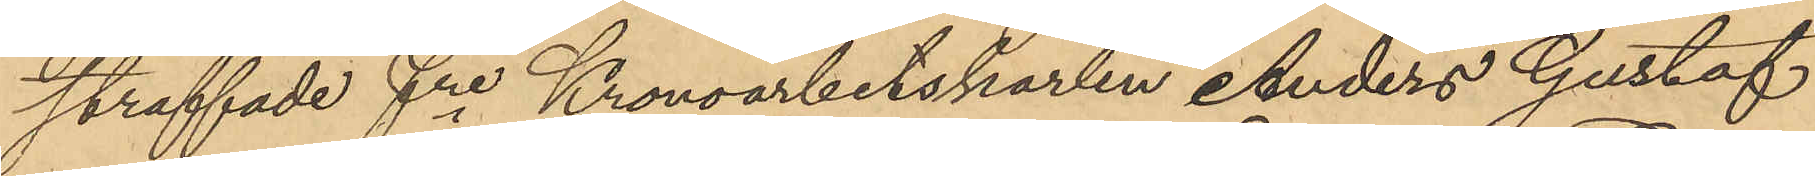straffade fre Kronoarbetskarlen Anders Gustaf
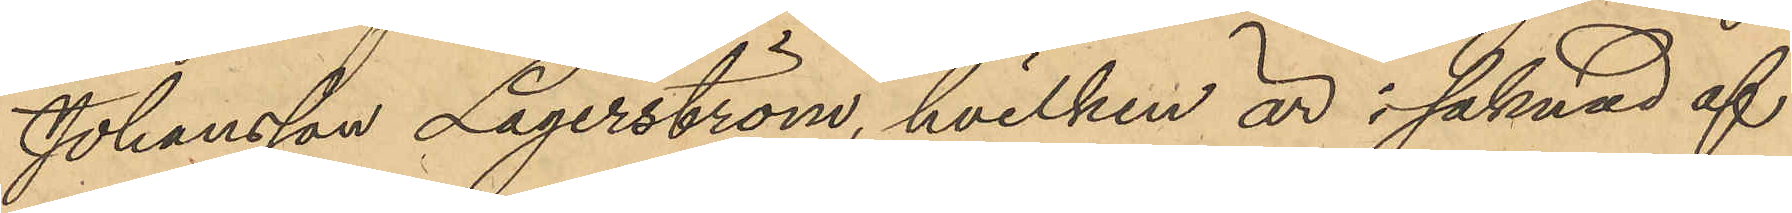Johansson Lagerström, hvilken är i saknad af
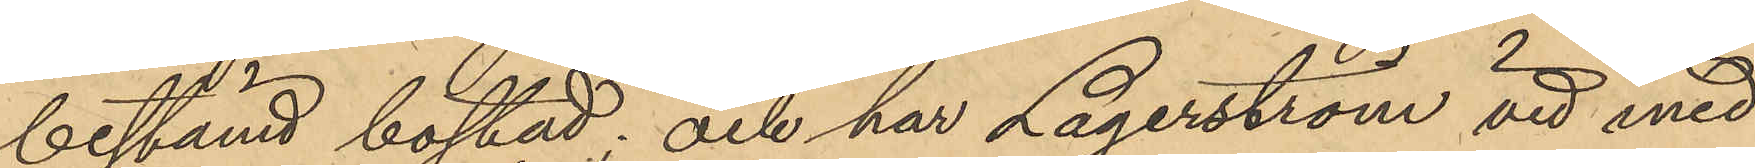bestämd bostad; och har Lagerström vid med
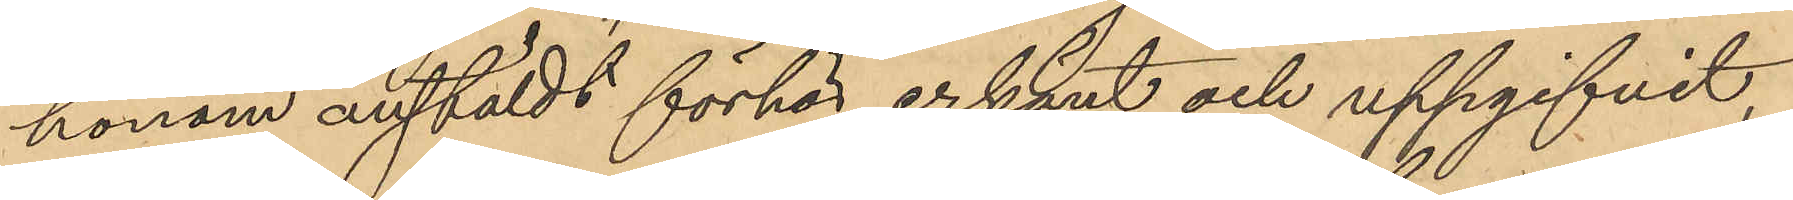honom anstäldt förhör erkänt och uppgifvit
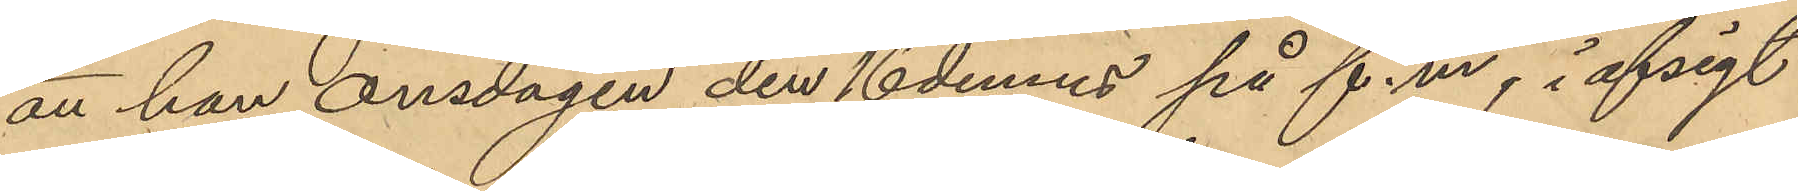att han onsdagen den 16 dennes på f.m, i afsigt
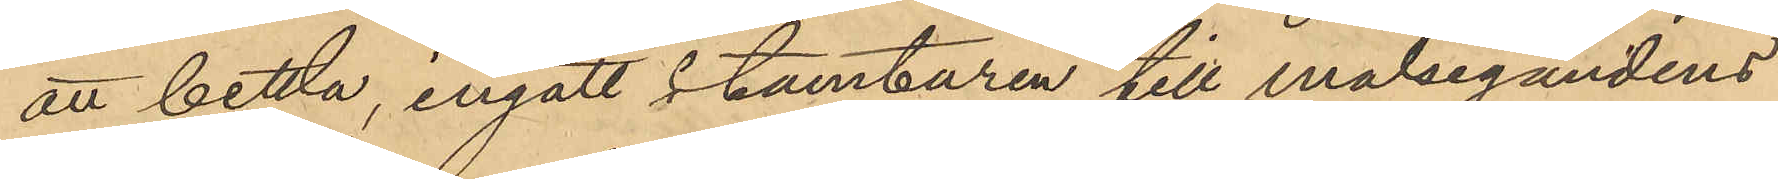att bettla, ingått i tamburen till målsegandens
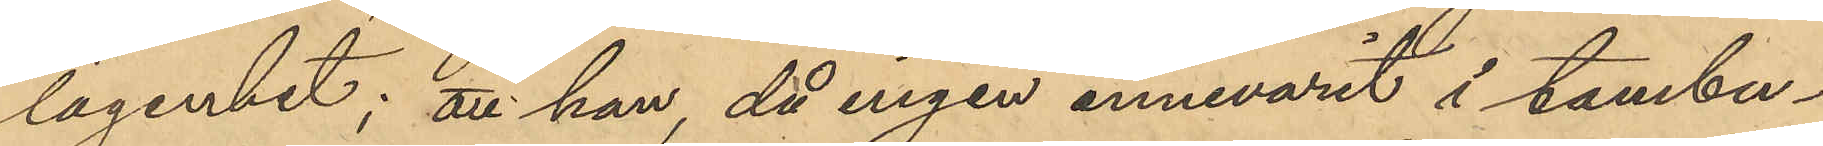lägenhet; att han, då ingen innevarit i tambu¬
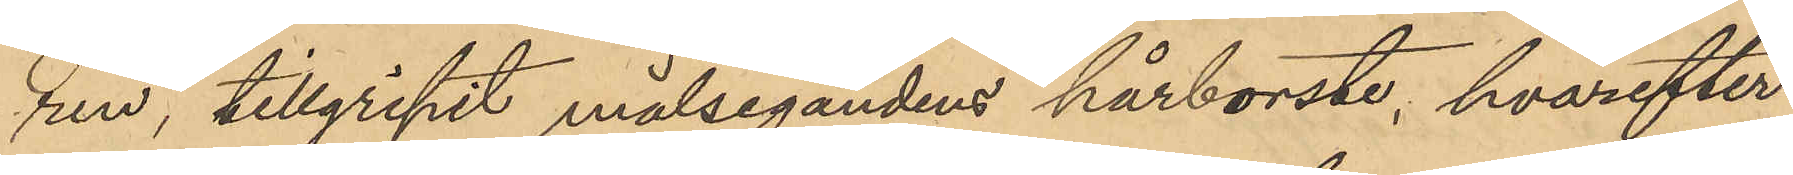ren, tillgripit målsegandens hårborste, hvarefter
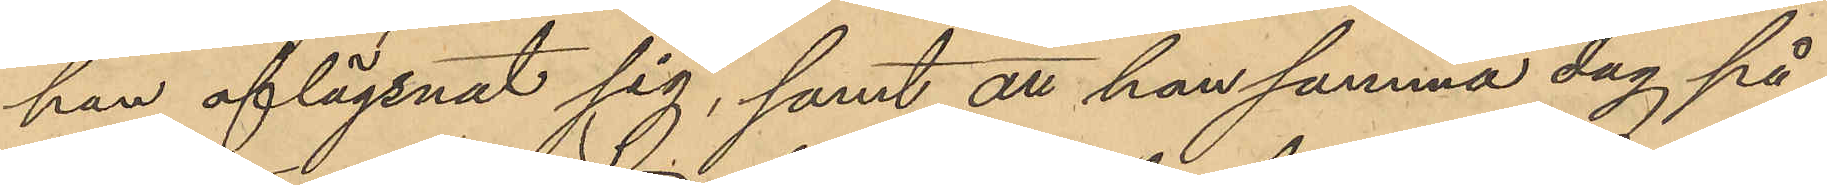han aflägsnat sig; samt att han samma dag på
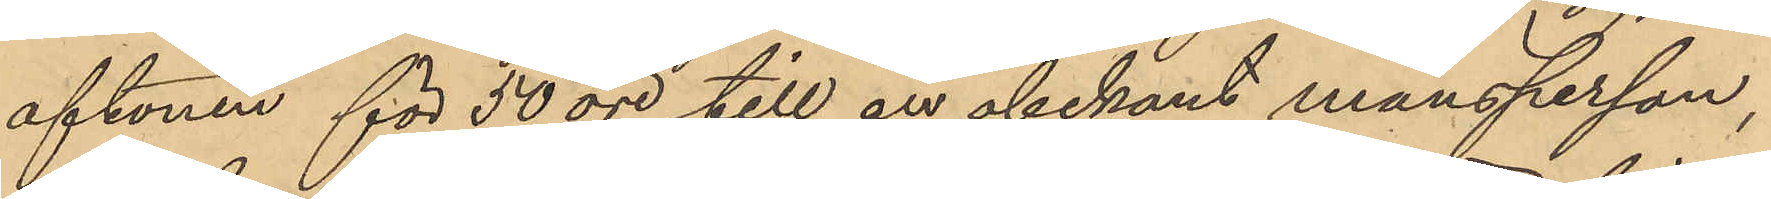aftonen för 50 öre till en obekant mansperson,
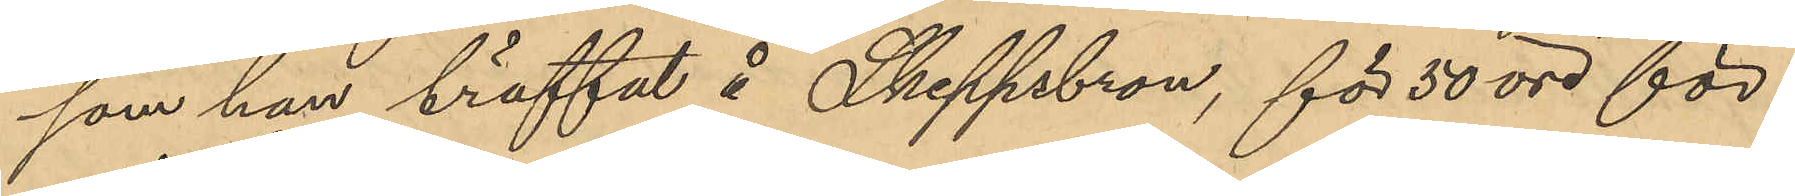som han träffat å Skeppsbron, för 50 öre för¬
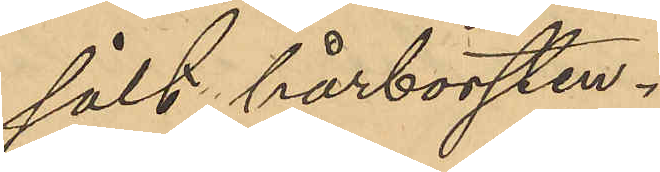sålt hårborsten.
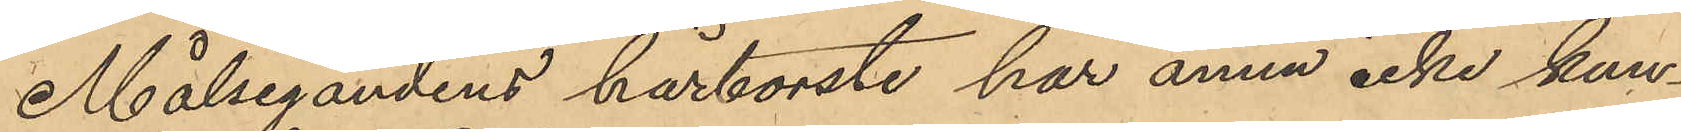Målsegandens hårborste har ännu icke kun¬
